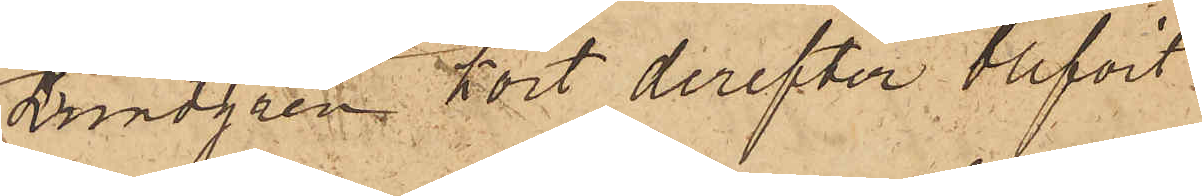Lundgren kort derefter blifvit
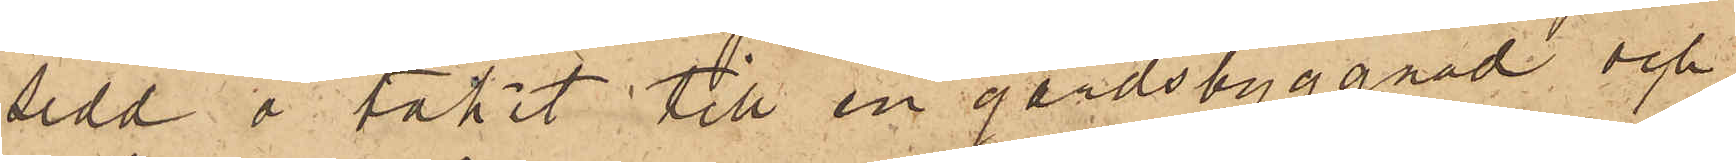sedd å taket till en gårdsbyggnad och
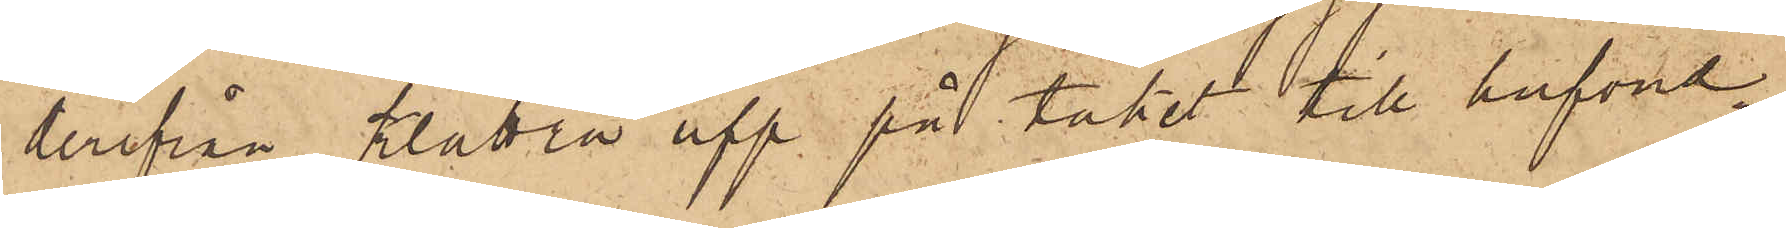derifrån klättrat upp på taket till hufvud¬
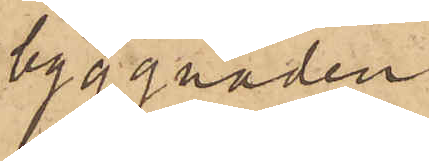byggnaden.
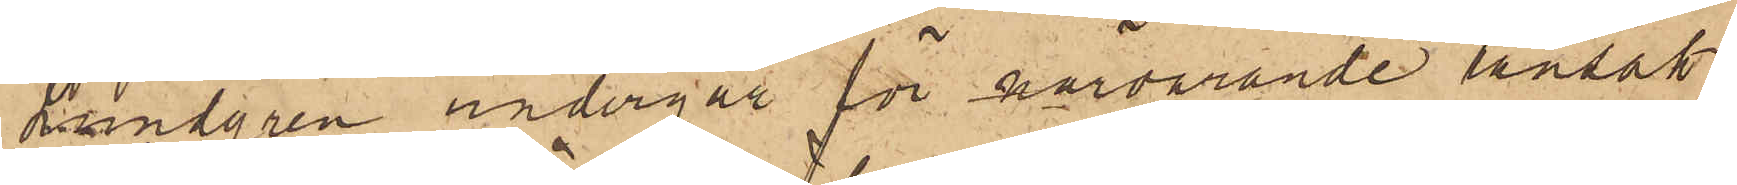Lundgren undergår för närvarande ransak¬
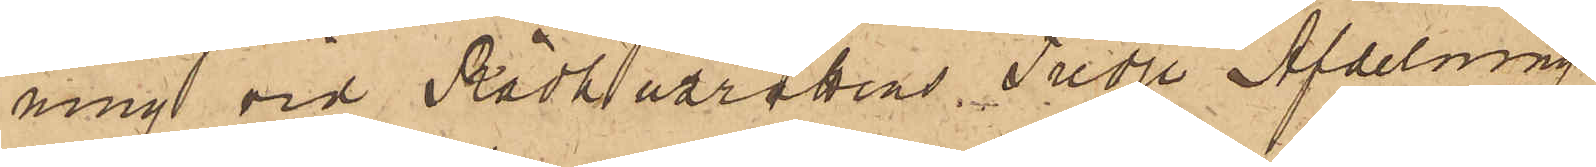ning vid Rådhusrättens Tredje Afdelning
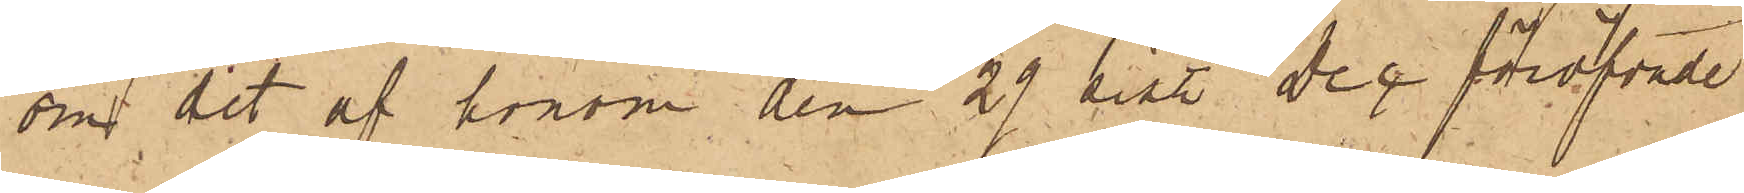om det af honom den 29 sist. Dec föröfvade
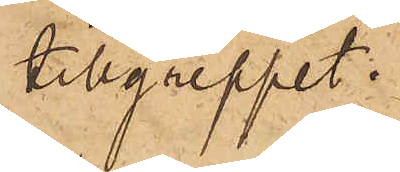tillgreppet.
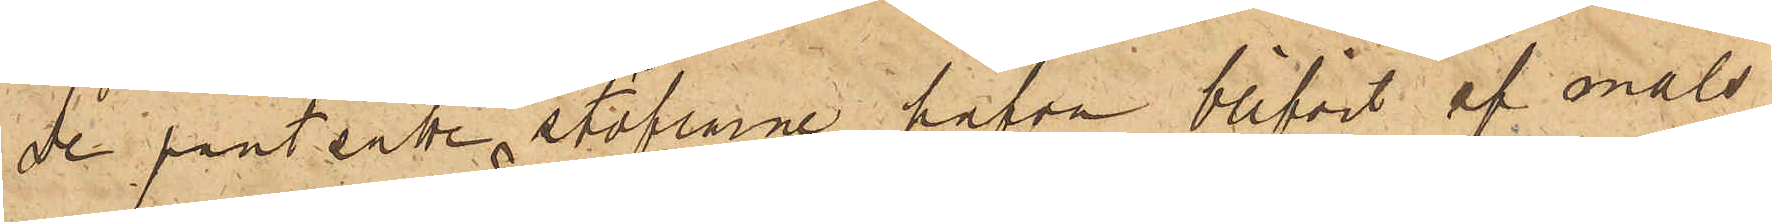De pantsatte stöflarne hafva blifvit af måls¬
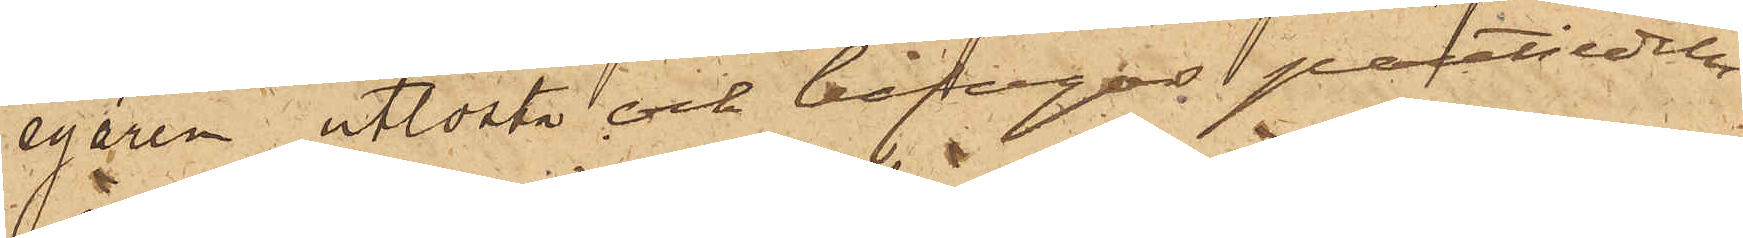egaren utlösta och bifogas pantsedeln.
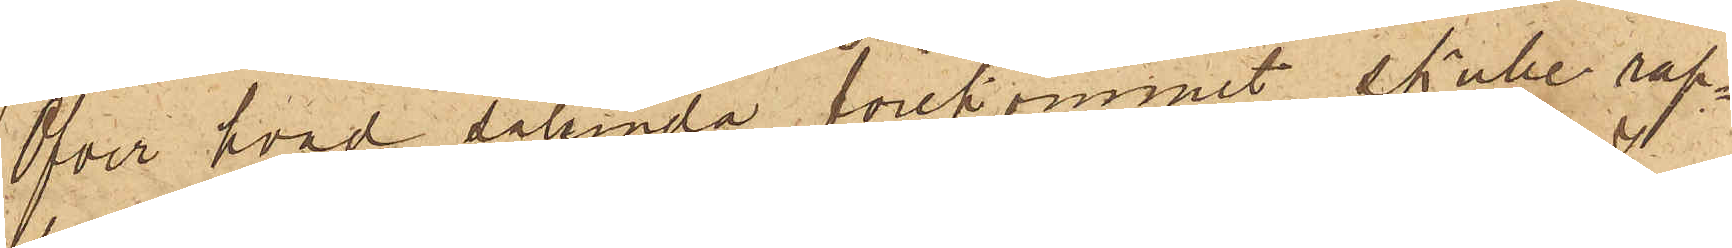Öfver hvad sålunda förekommit skulle rap¬
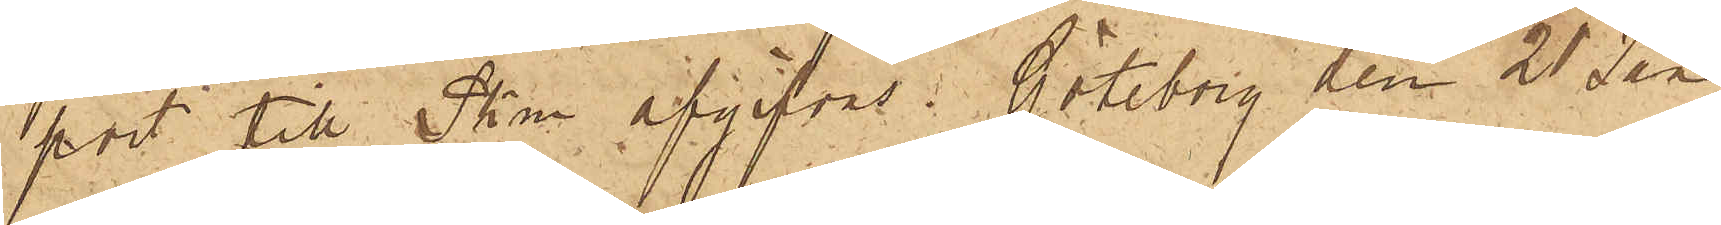port till Skm afgifvas. Göteborg den 21 Jan
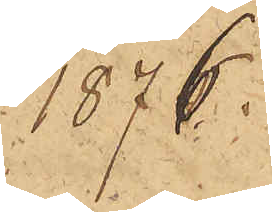1876.
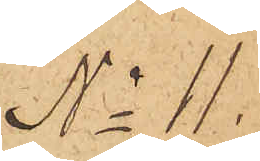No 11.
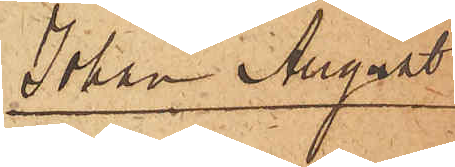Johan August
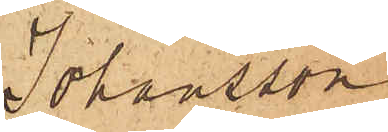Johansson
